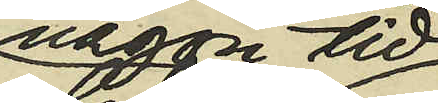någon tid
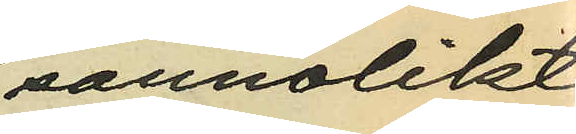sannolikt
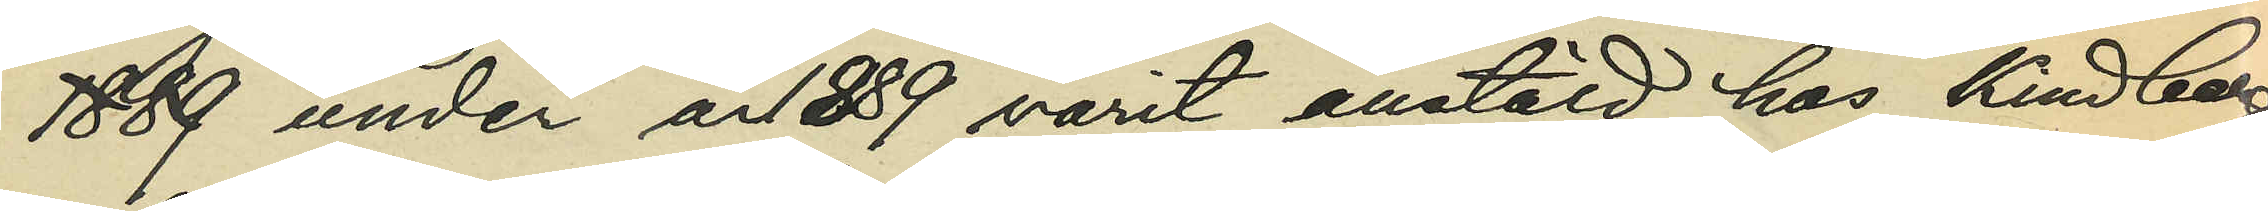1889 under år 1889 varit anstäld hos Kindberg;
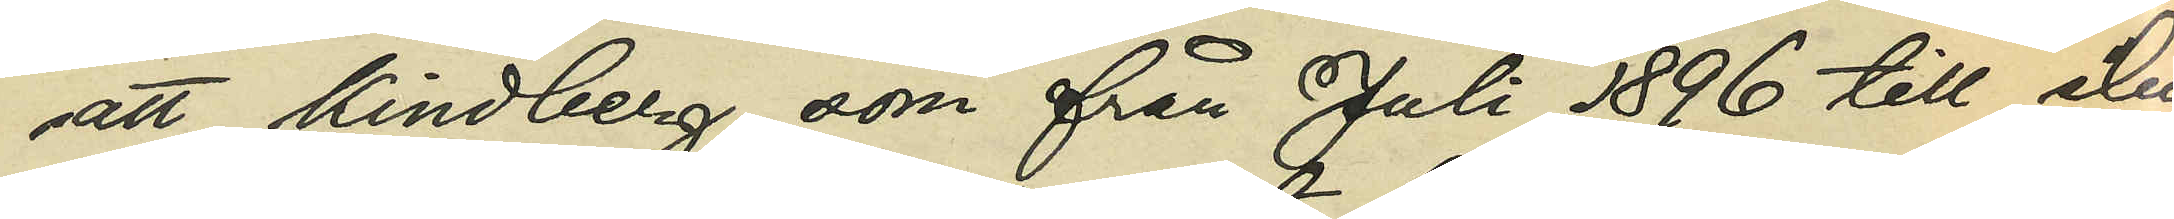att Kindberg, som från Juli 1896 till slu¬
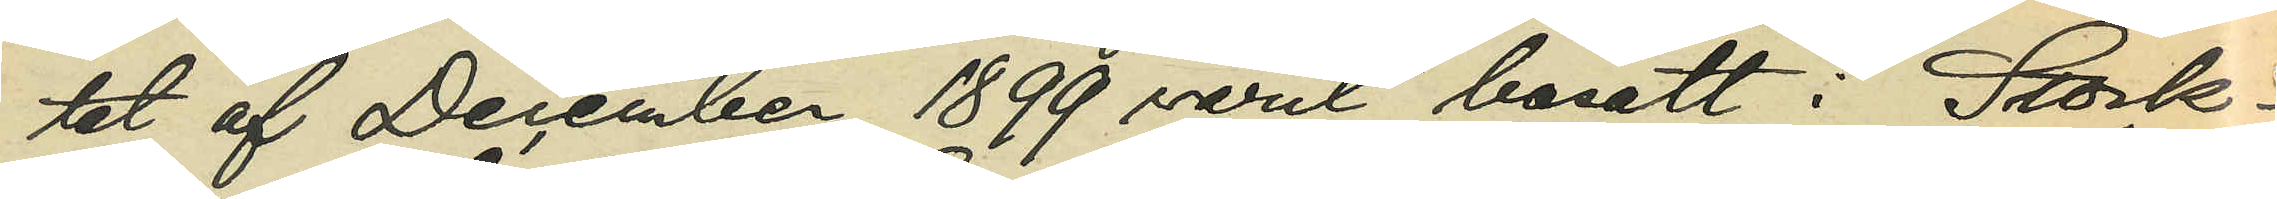tet af December 1899 varit bosatt i Stock¬
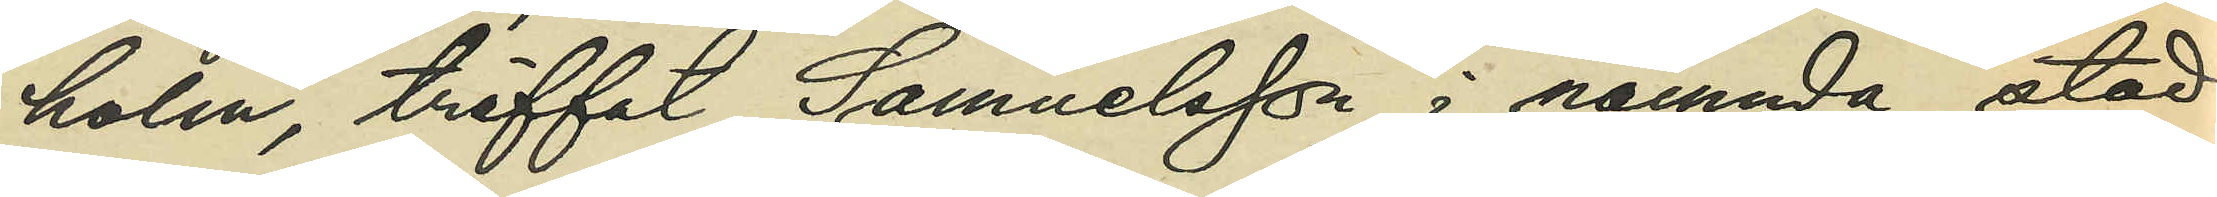holm, träffat Samuelsson i nämnda stad
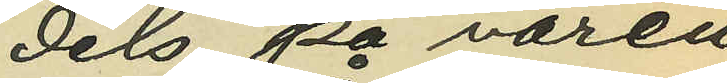dels på våren
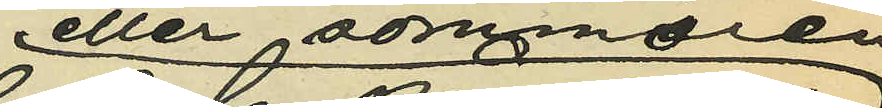eller sommaren
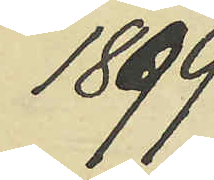1899
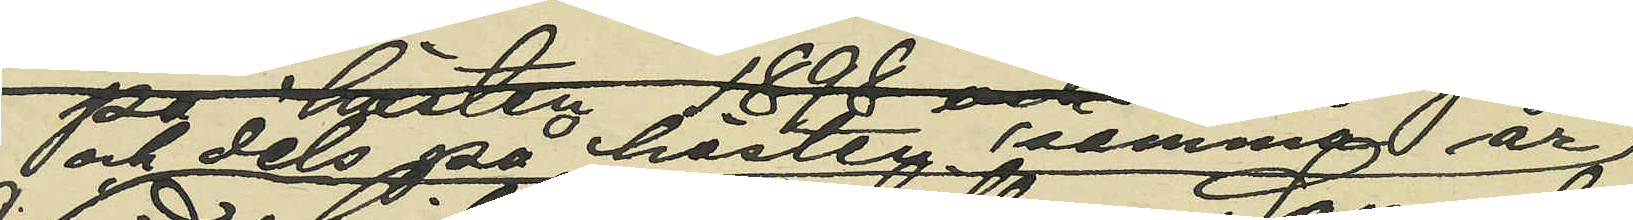och dels på hösten samma år
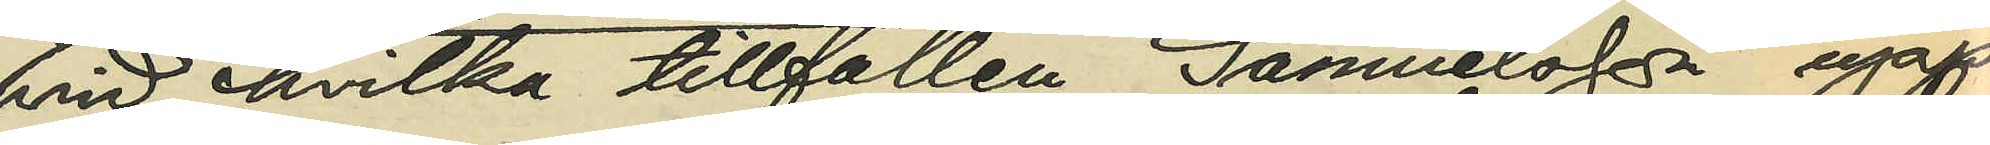vid hvilka tillfällen Samuelsson upp¬
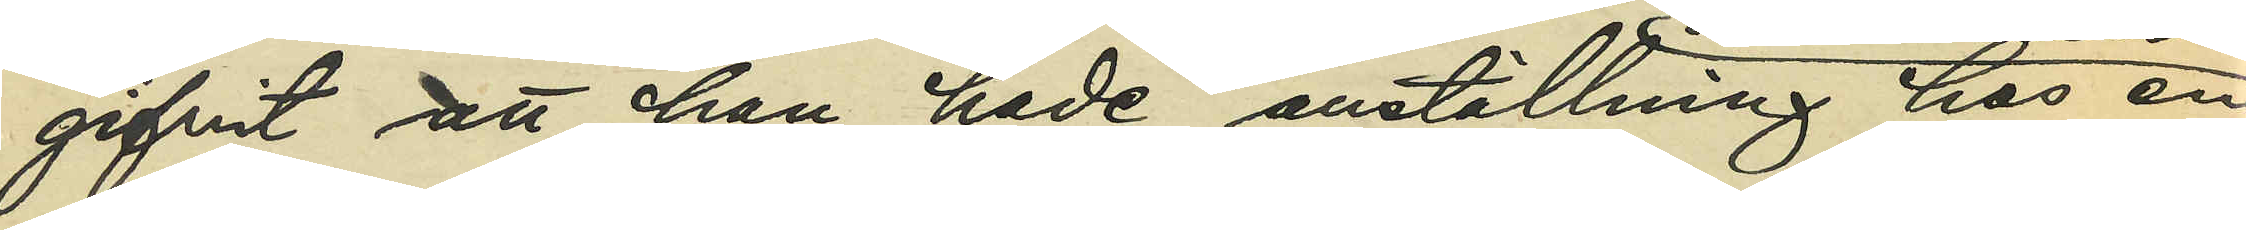gifvit att han hade anställning hos en
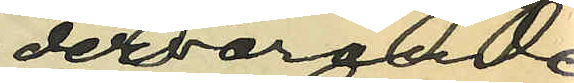dervarande
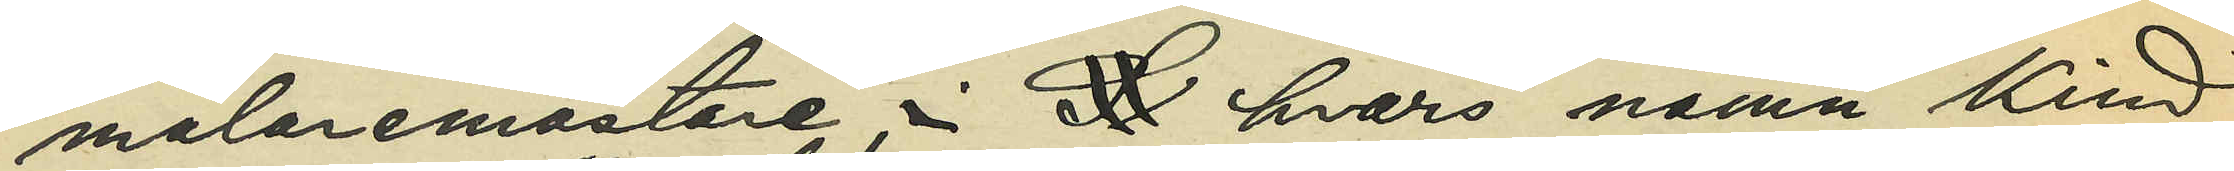målaremästare i St hvars namn Kind¬
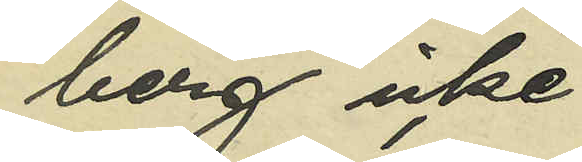berg icke
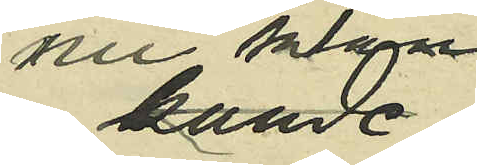nu längre
